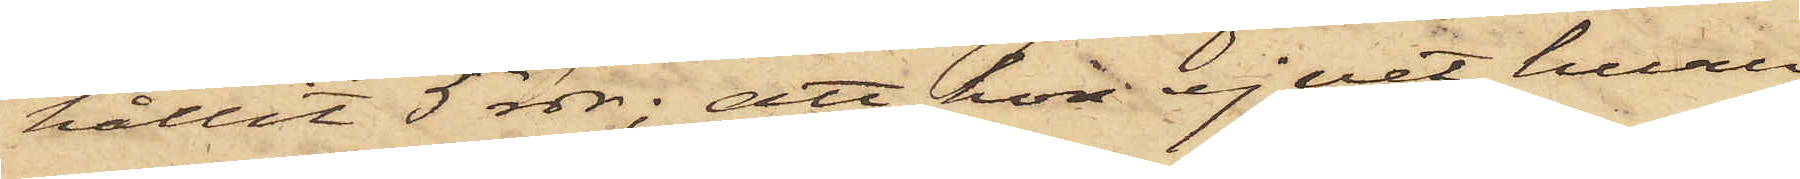hållit 5 rdr; att hon ej vet huru
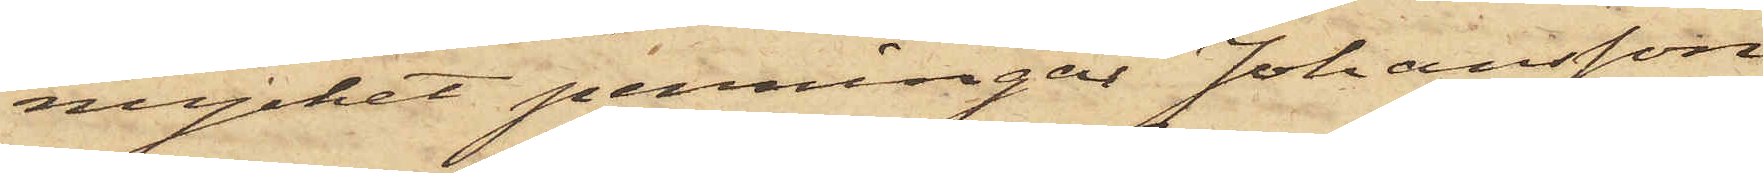mycket penningar Johansson
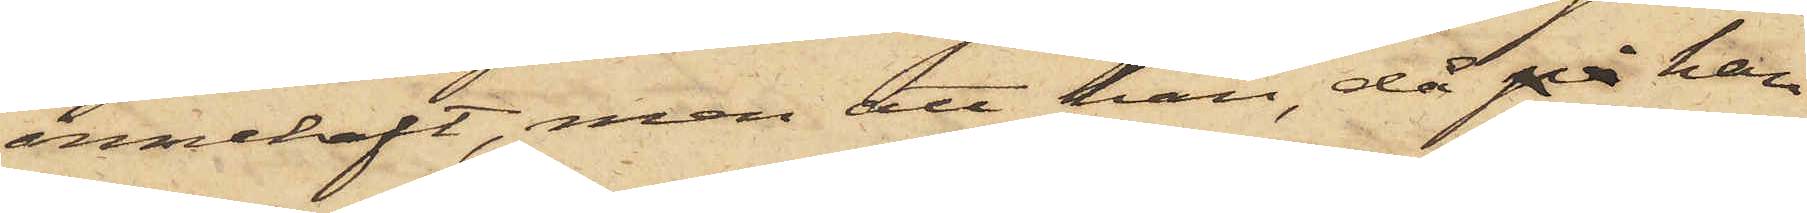innehaft, men att han, då på han
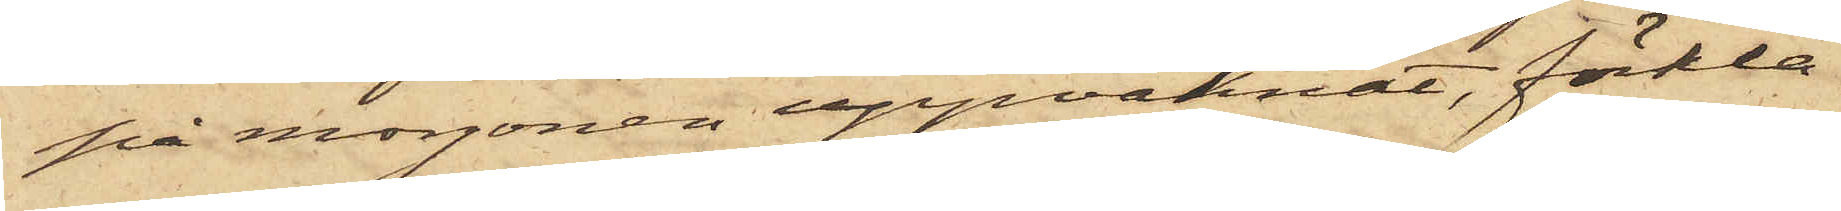på morgonen uppvaknat, förkla¬
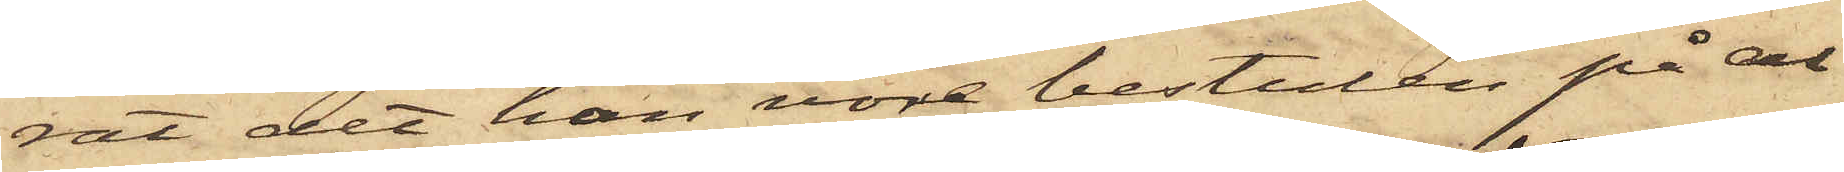rat det han vore bestulen på al¬
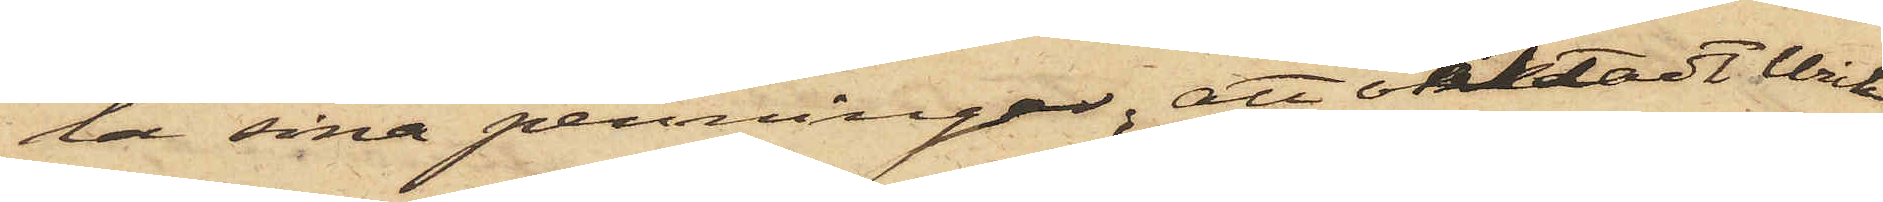la sina penningar, att oaktadt Wick¬
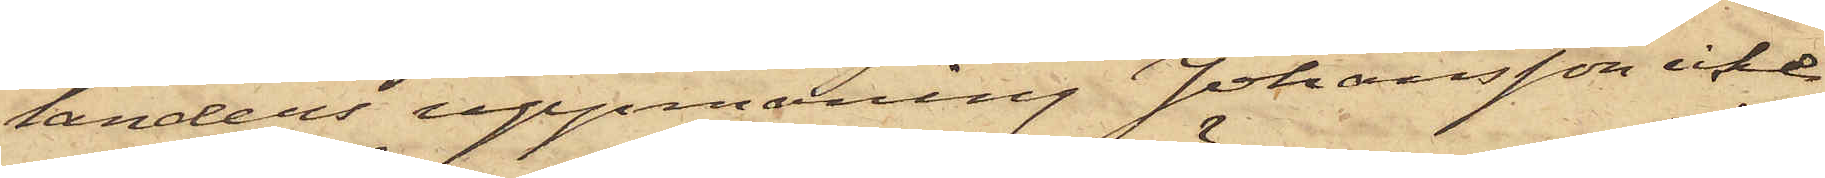landers uppmaning Johansson icke
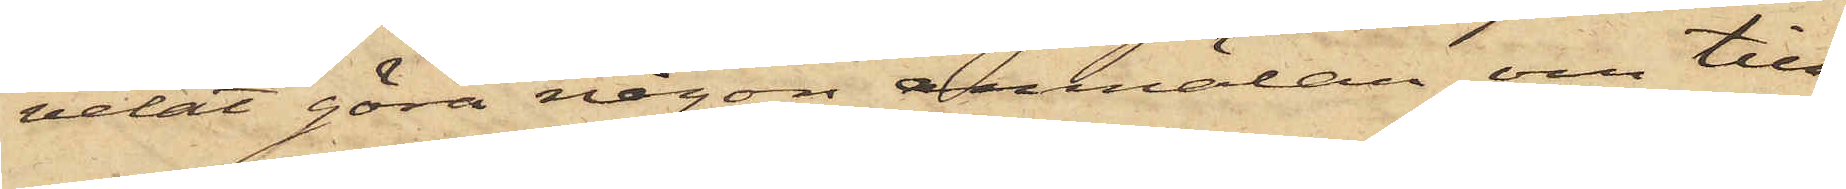velat göra någon anmälan om till¬
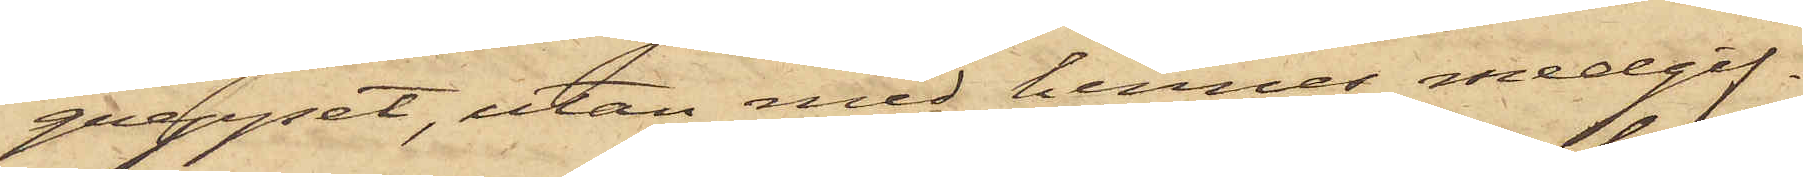greppet, utan med hennes medgif¬
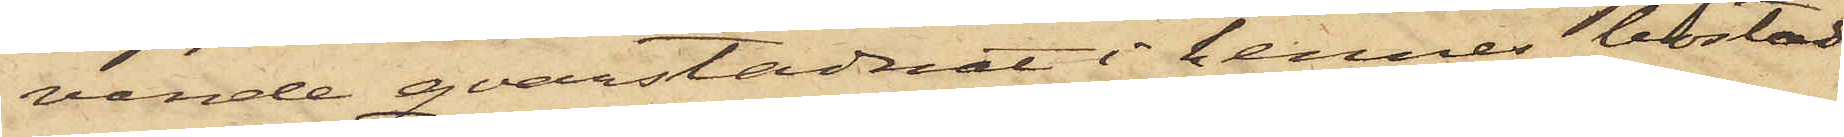vande qvarstadnat i hennes bostad,
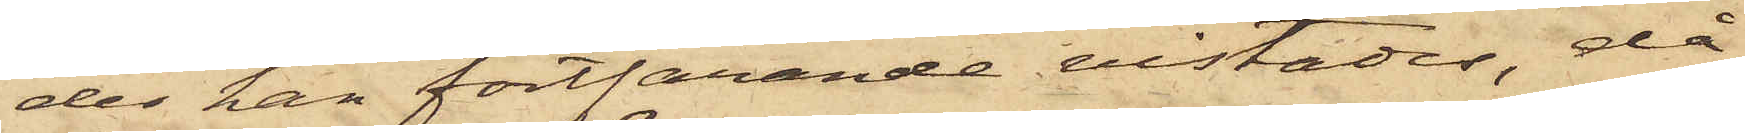der han fortfarande vistades, då
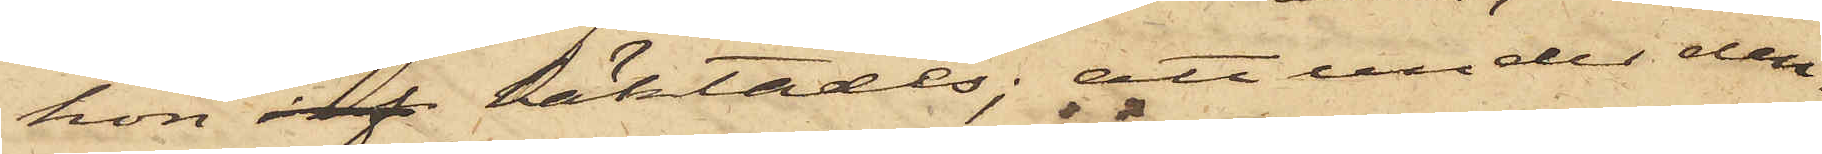hon anh häktades; att under den¬
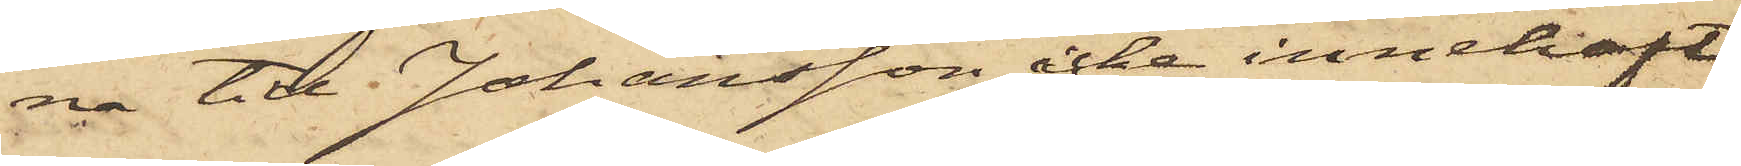na tid Johansson icke innehaft
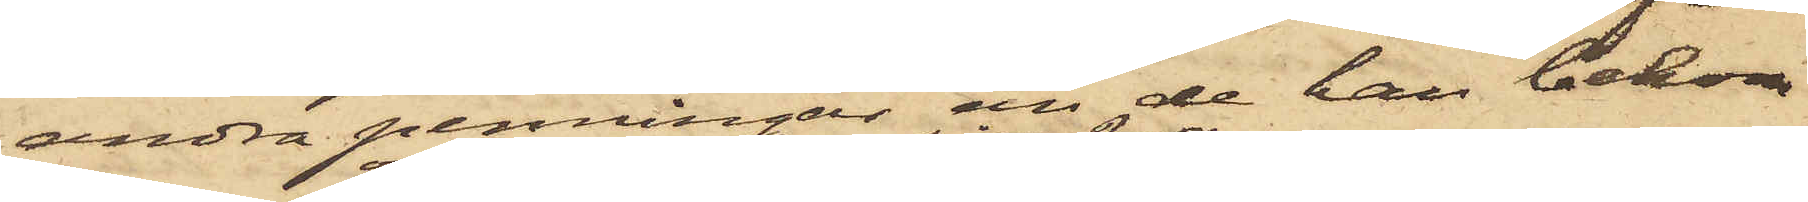andra penningar än de han bekom¬
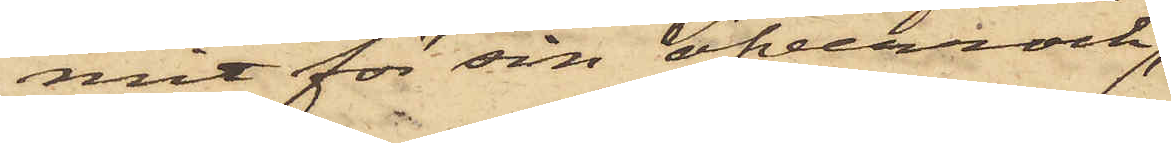mit för sin öfverrock
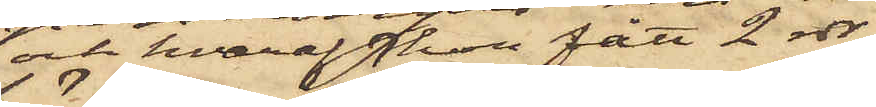och hvaraf hon fått 2 rdr;
